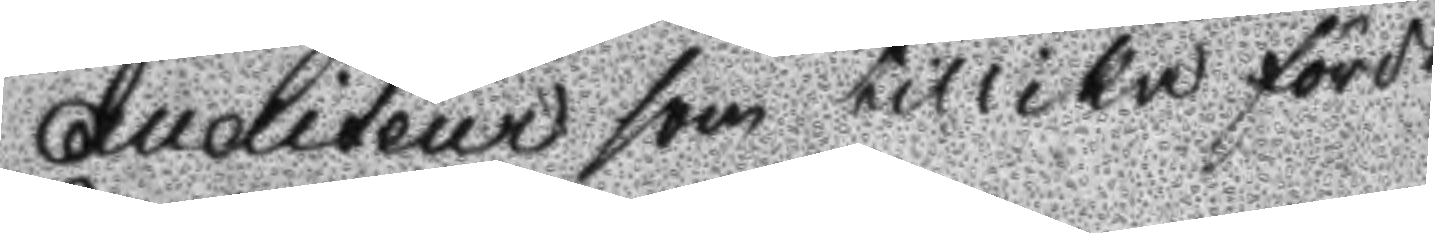Auditeur som tillika förde
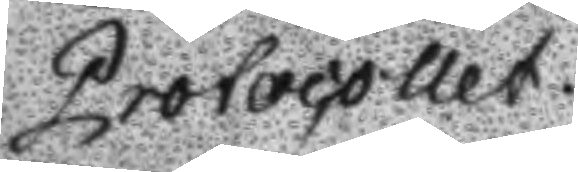Protocollet.
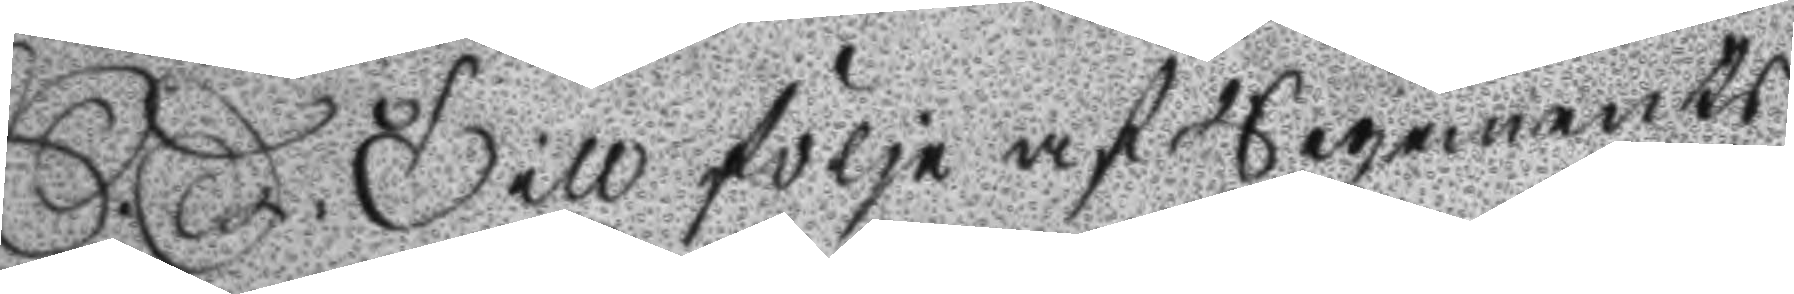S.D. Till följe af Regements
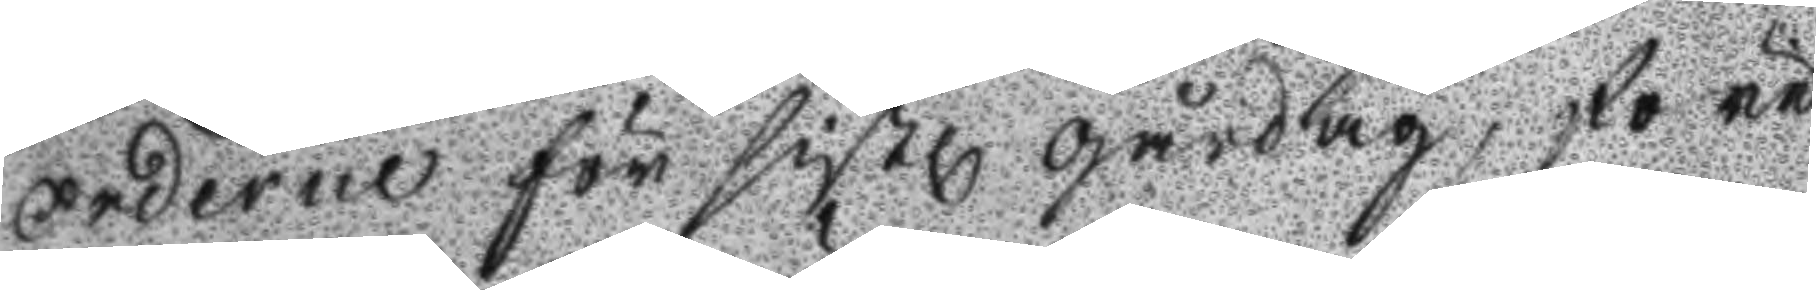orderne för sistl gårdag, före
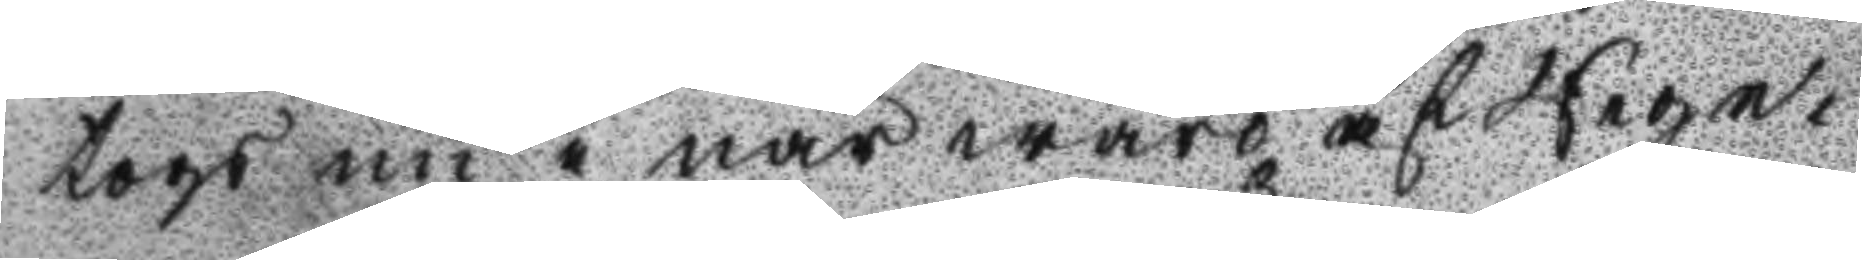togs nu i närwaro af Rege¬
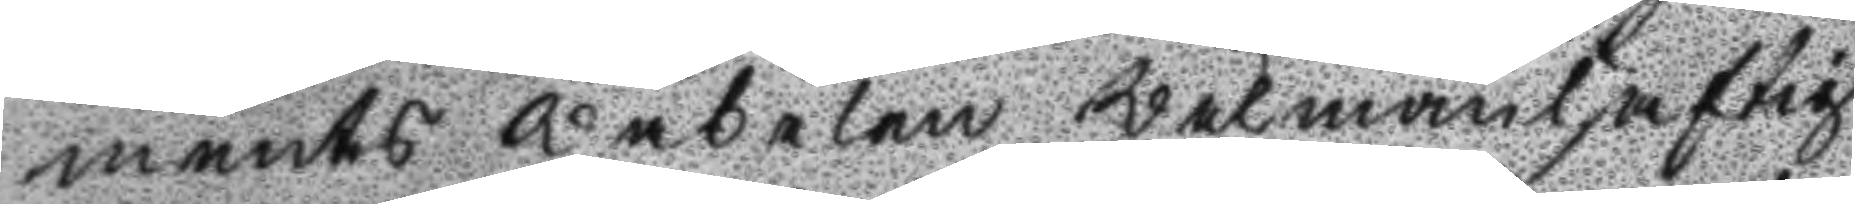ments wäbelen wälmanhaftig
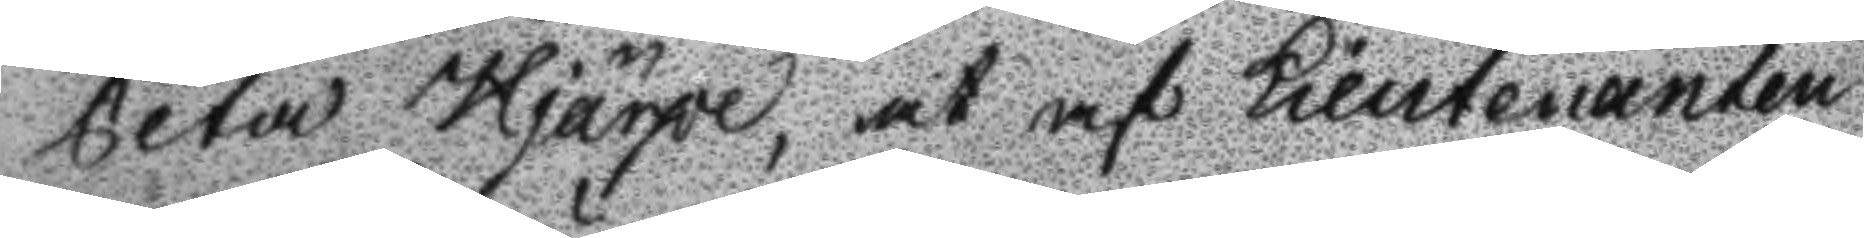Peter Hjärpe, at af Lieutenanten
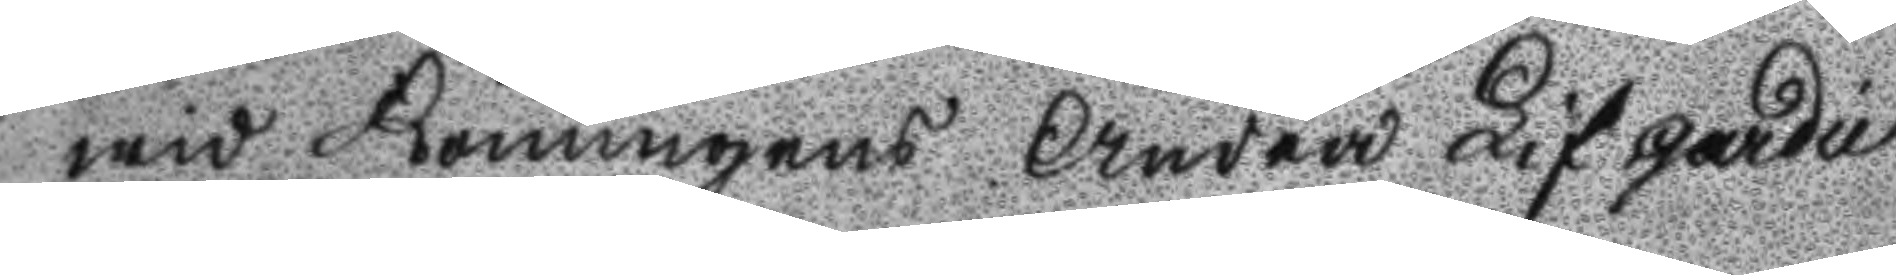wid Konungens Andra Lifgardie
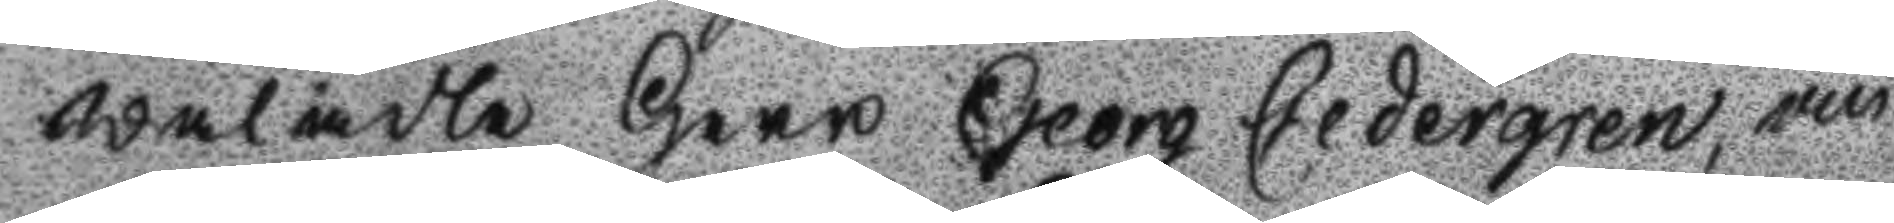wälädle Herr Georg Cedergren, an
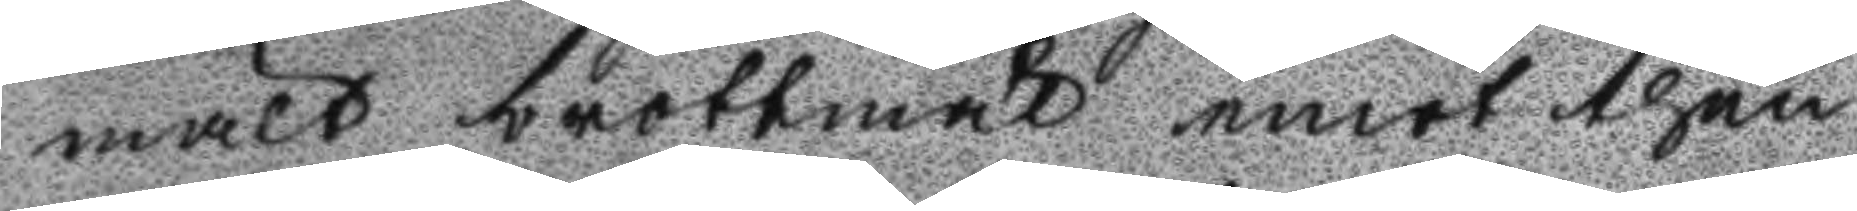mält brottmål emot then
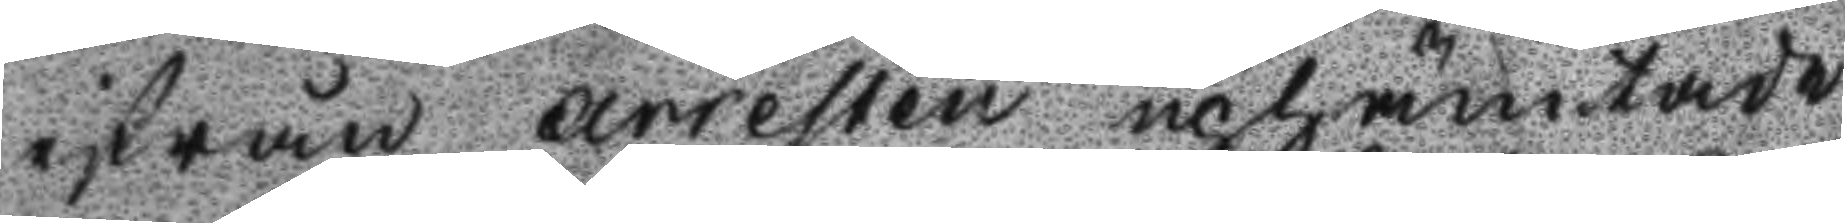ifrån arresten uphämtade
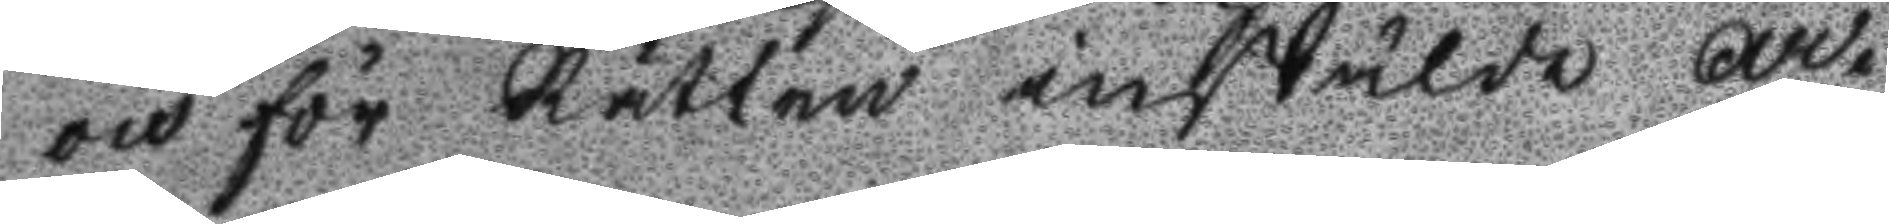och för Rätten instälde Ar¬
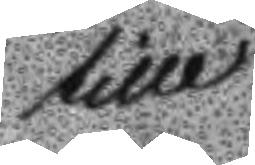till
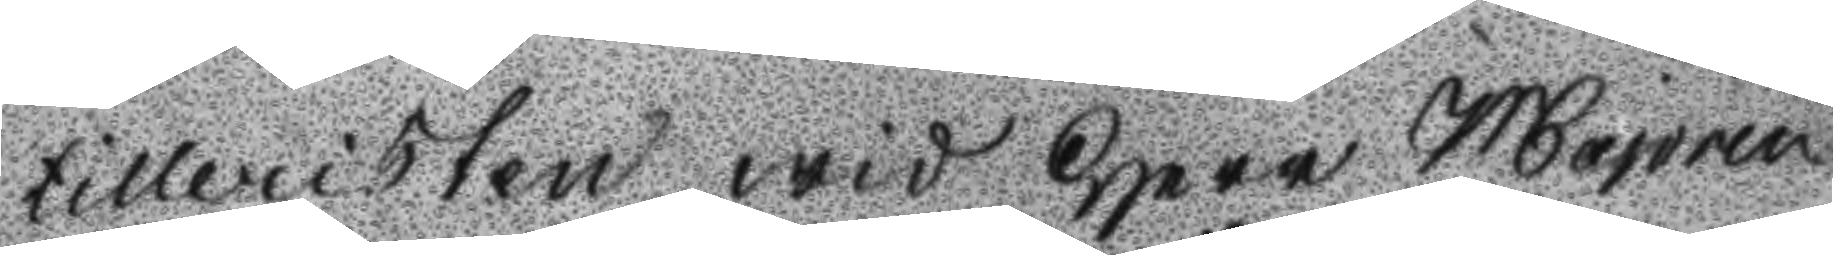tilleristen wid Herr Majoren
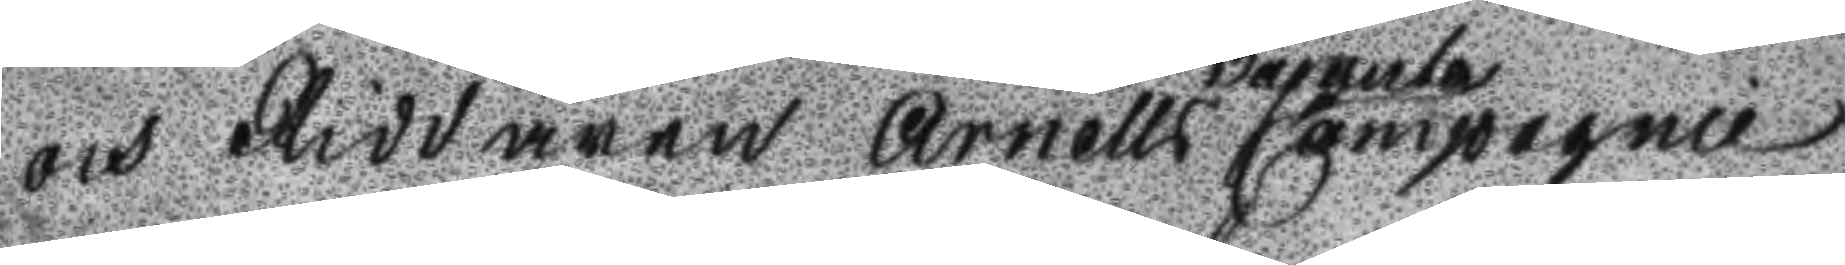och Riddaren Arnells vacanta Compagnie
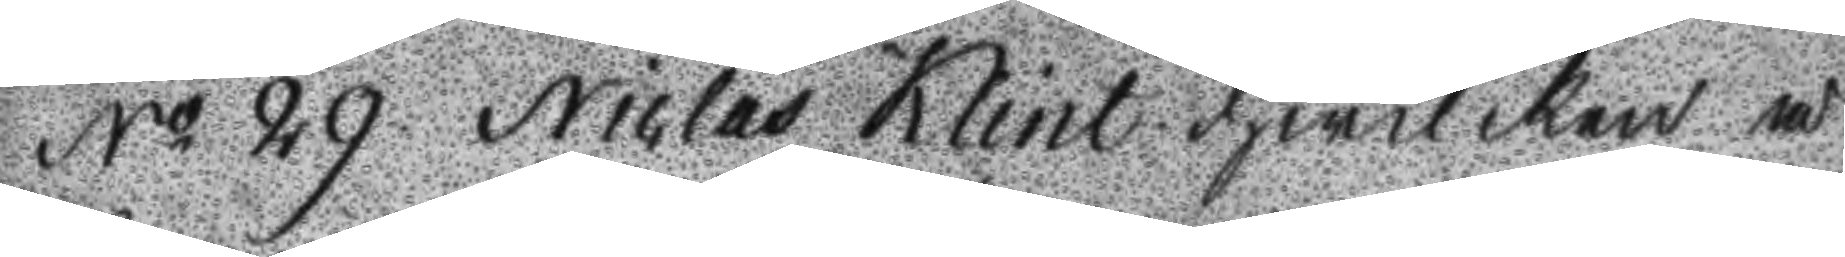No 29 Niclas Klint hwilken å
